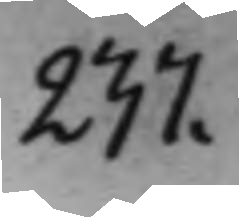237.
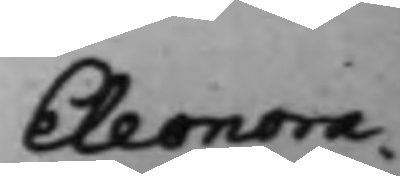Eleonora
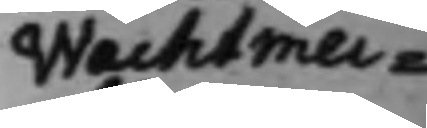Wachtmei¬
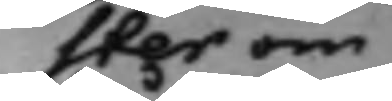ster om
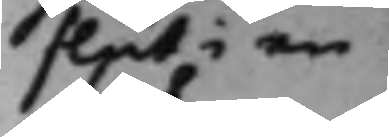slut i en
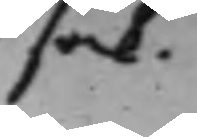sak.
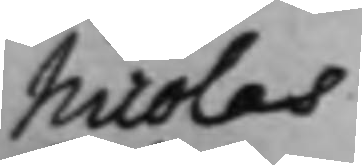Nicolas
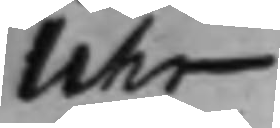Uhr
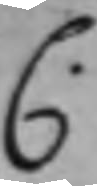C.
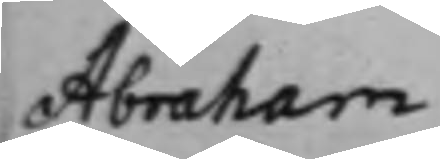Abraham
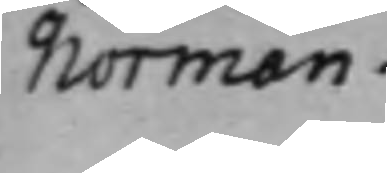Norman.
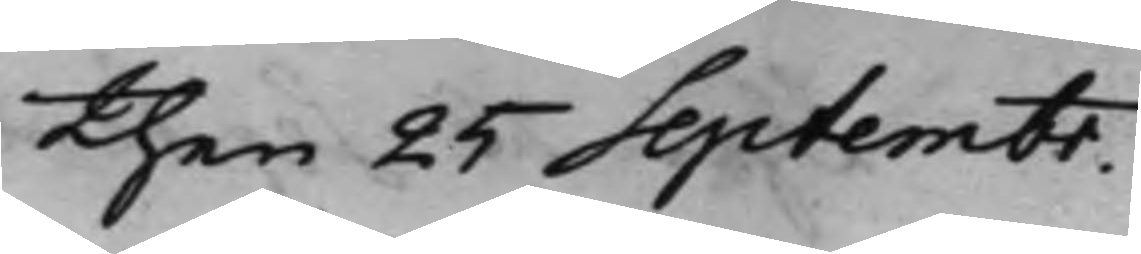then 25 Septembr.
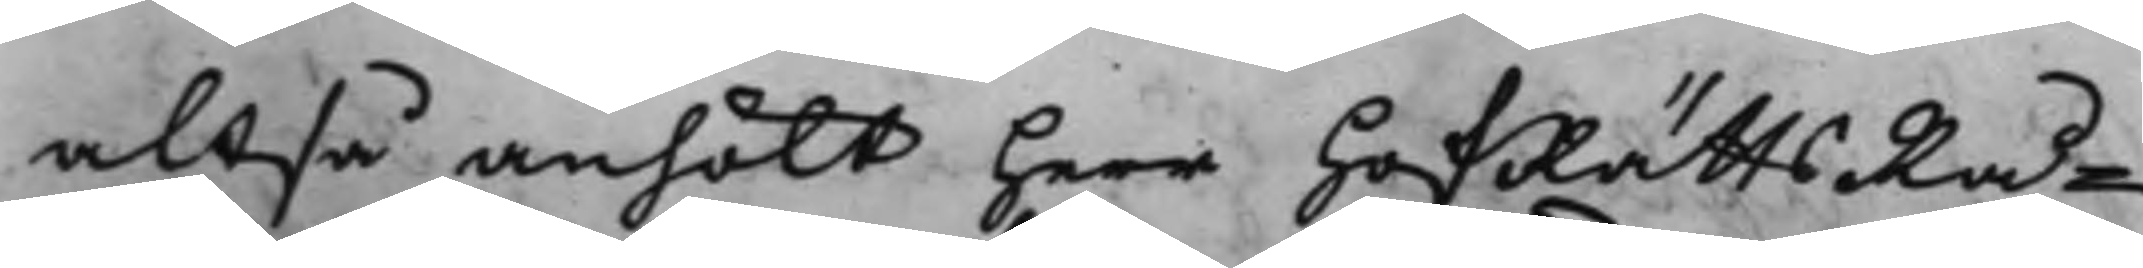altså anhölt Herr HofRättsRå¬
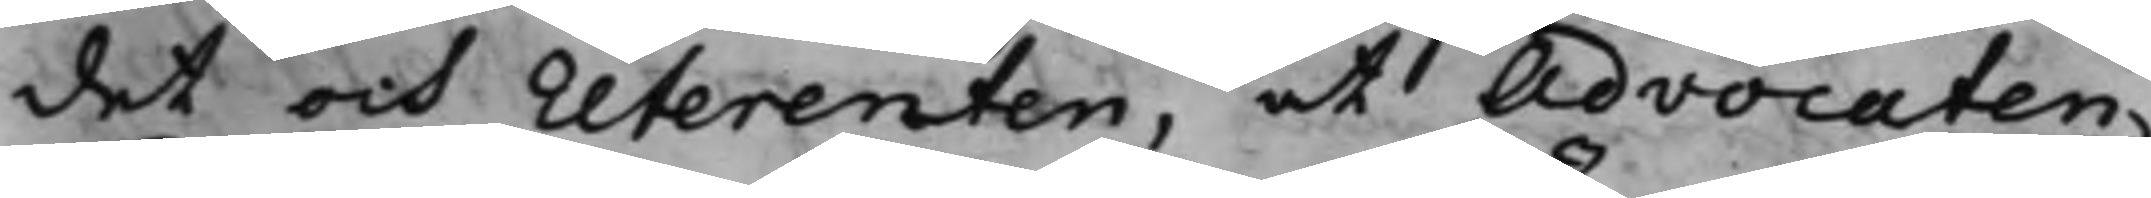det och referenten, at Advocaten
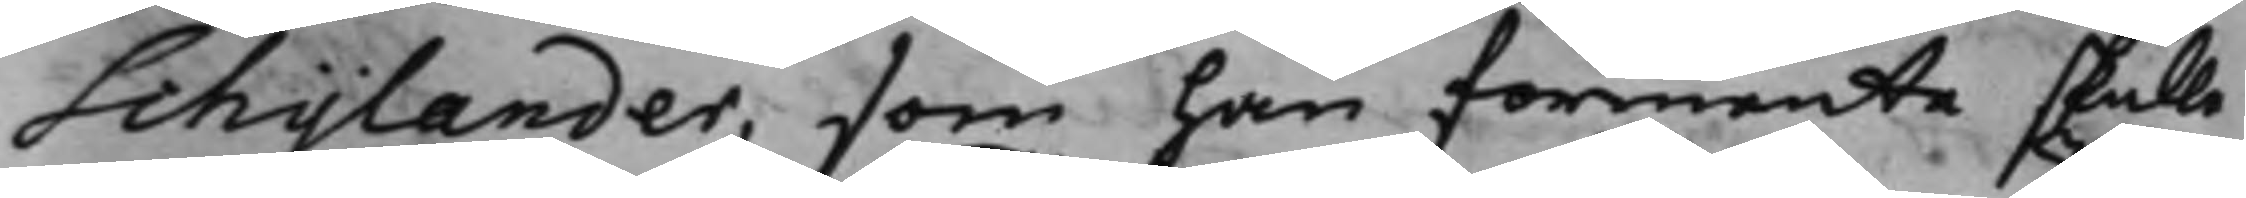Schylander, som han förmente skulle
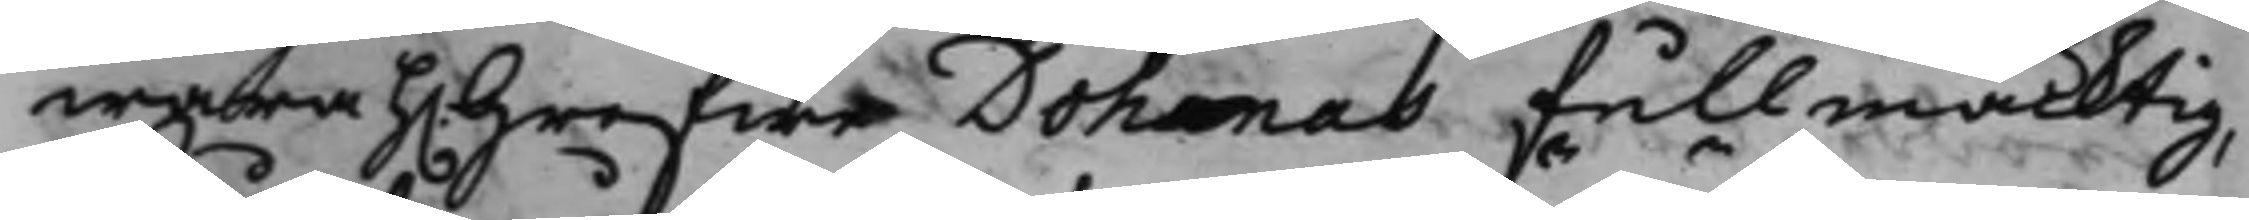wara h. Grefwe Dohnas Fullmäcktig, 
